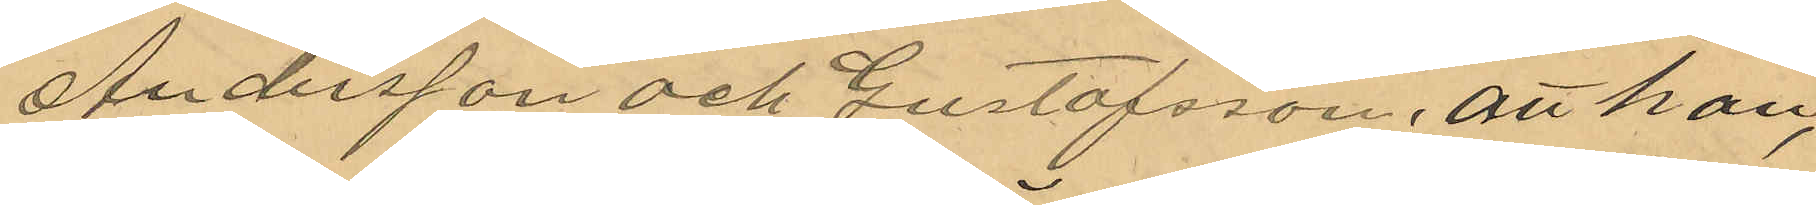Andersson och Gustafsson, att han,
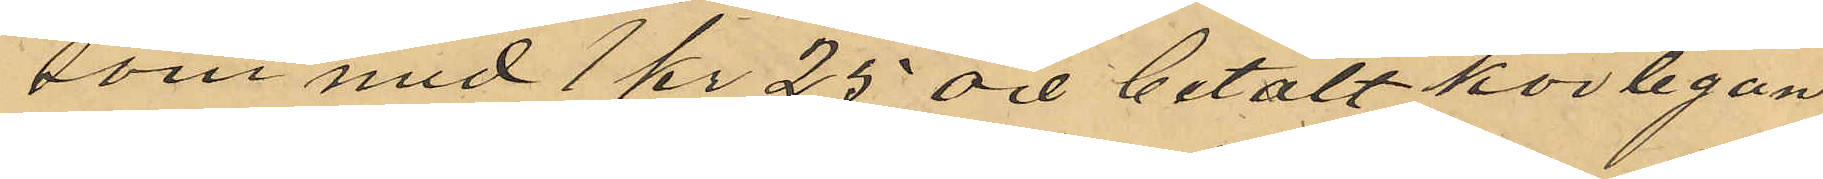som med 1 kr 25 öre betalt körlegan 
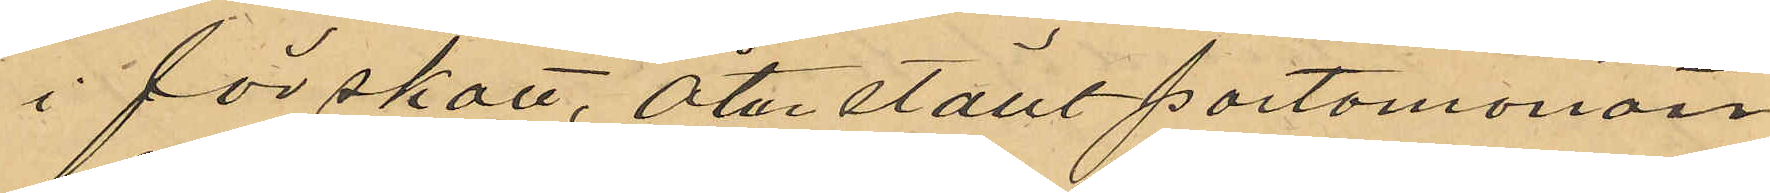i förskott, åter ställt portomonon
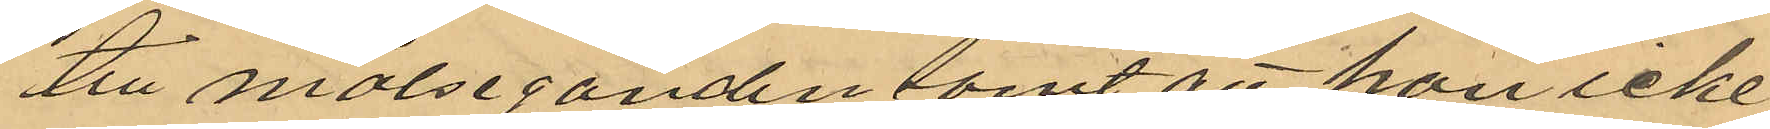till målseganden samt att han icke
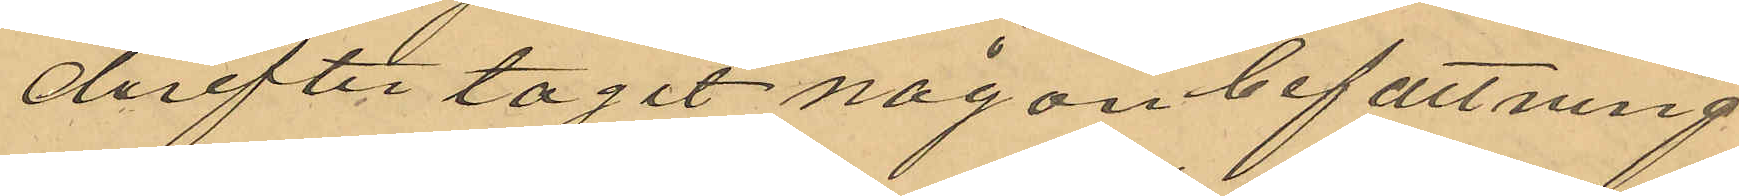derefter tagit någon befattning
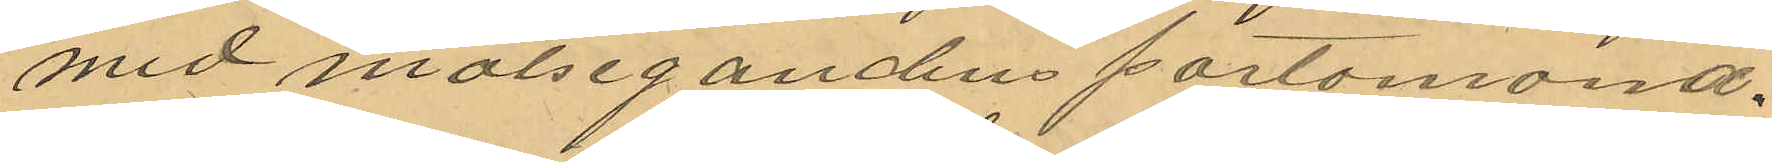med målsegandens portomonä.
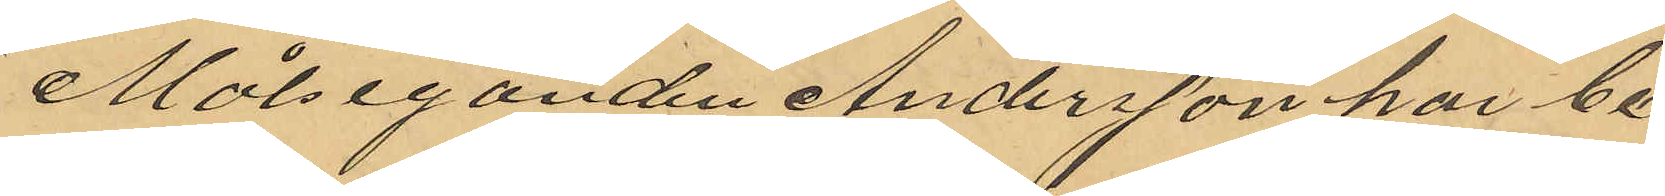Målseganden Andersson har be¬
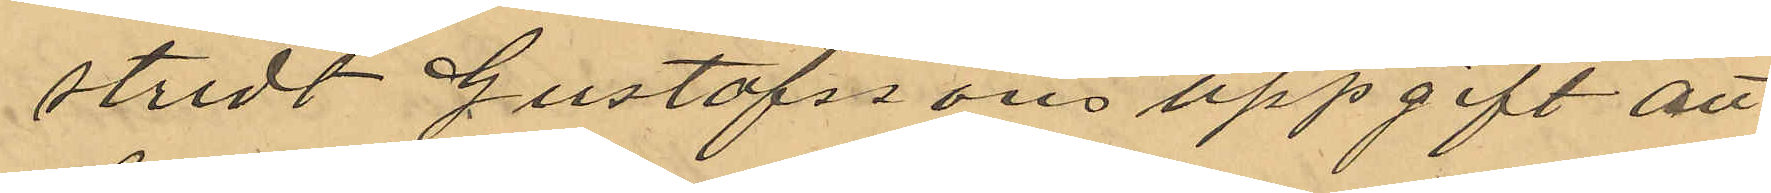stridt Gustafssons uppgift att
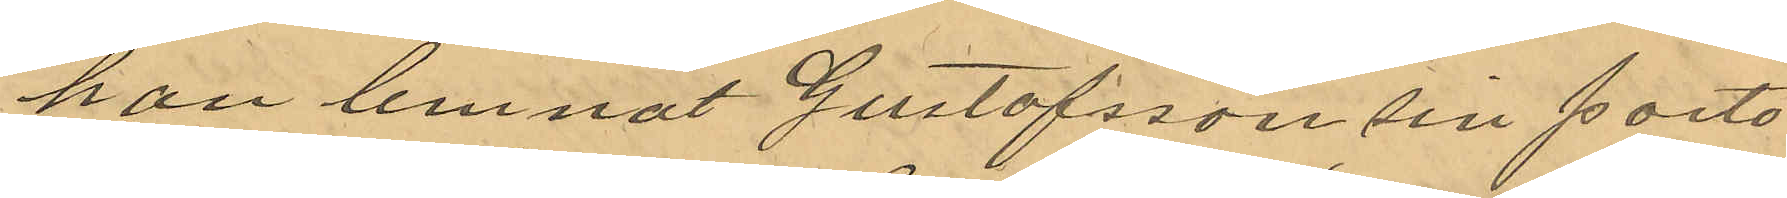han lemnat Gustafsson sinl porto¬
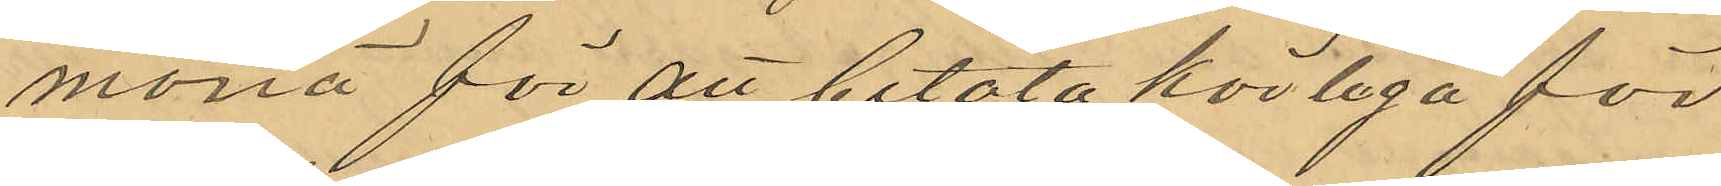monä för att betala körlega för
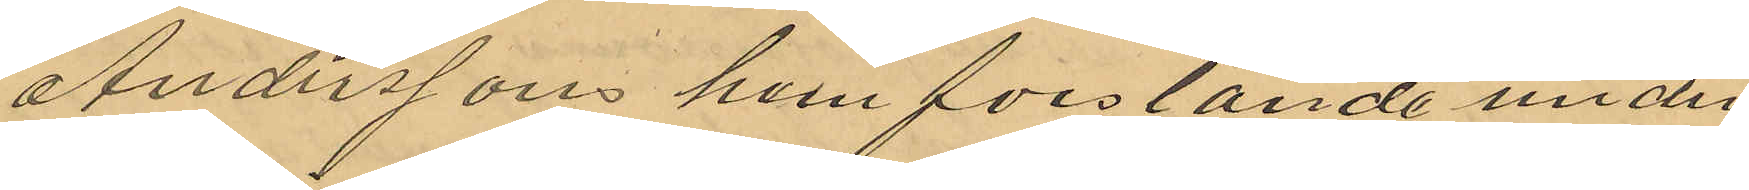Anderssons hemforslande under
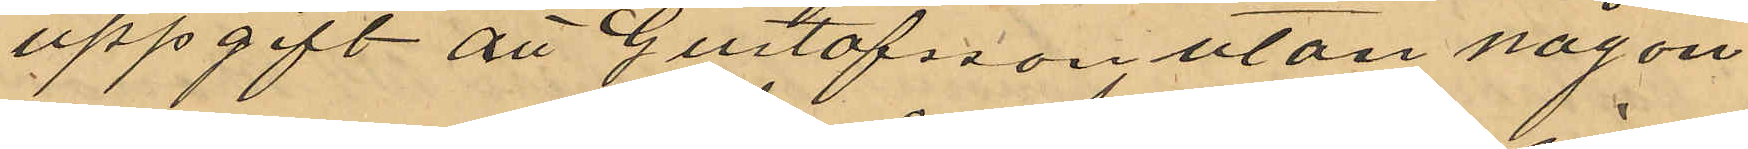uppgift att Gustafsson utan någon
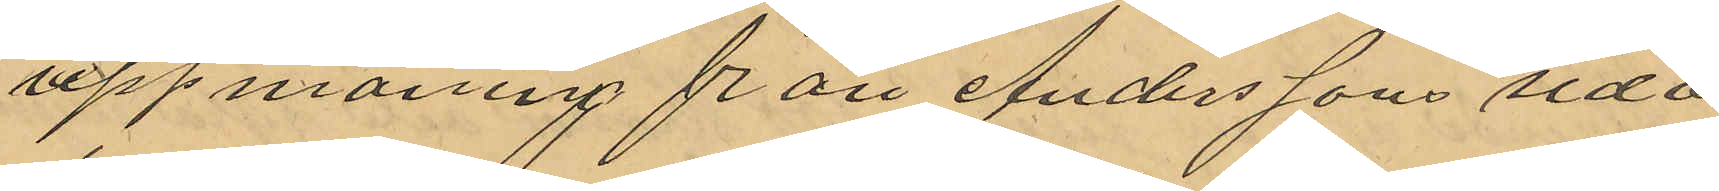uppmaning från Anderssons sida
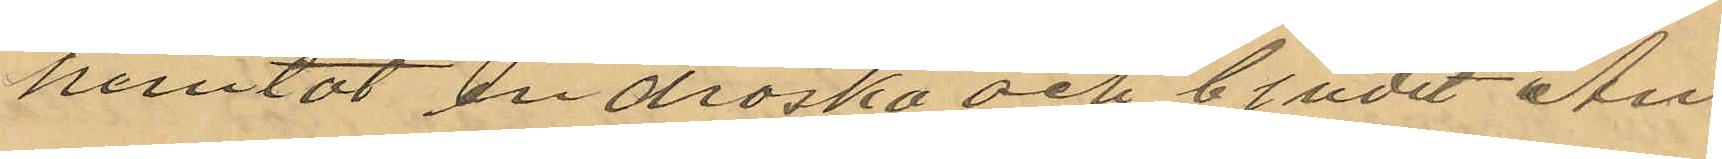hemtat en droska och bjudit An¬
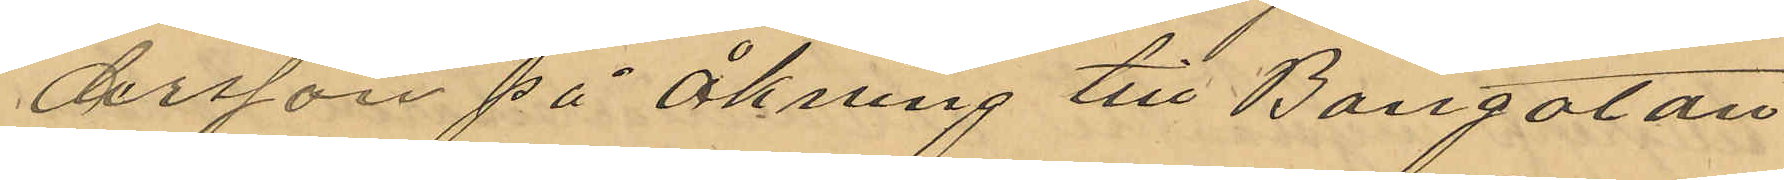dersson på åkning till Bangatan
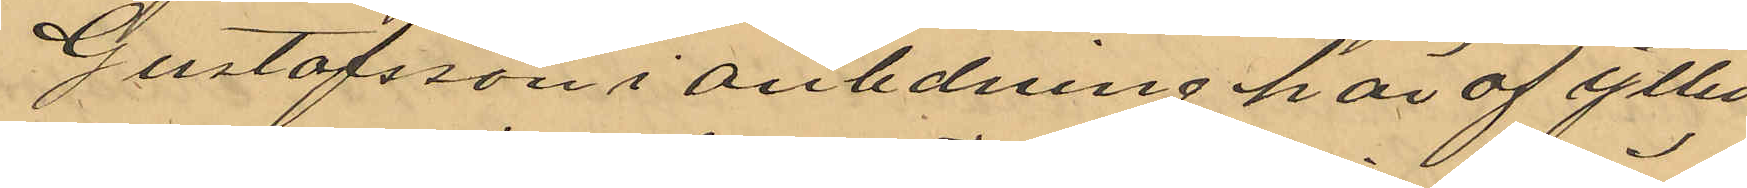Gustafsson i anledning här af ytter
